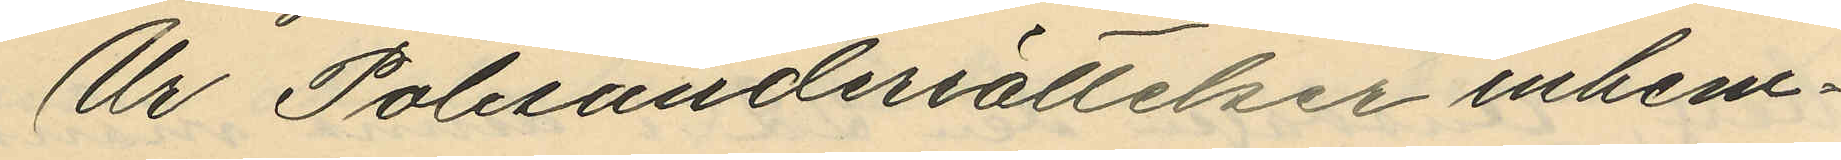Ur Polisunderrättelser inhem¬
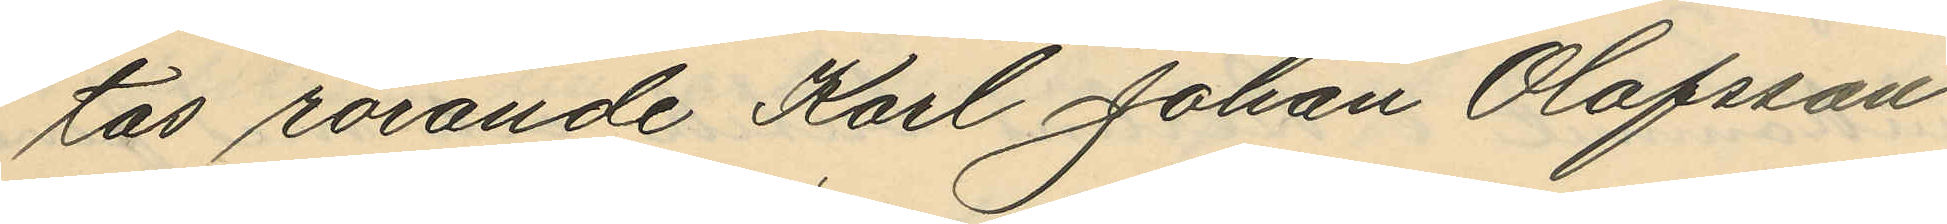tas rörande Karl Johan Olofsson
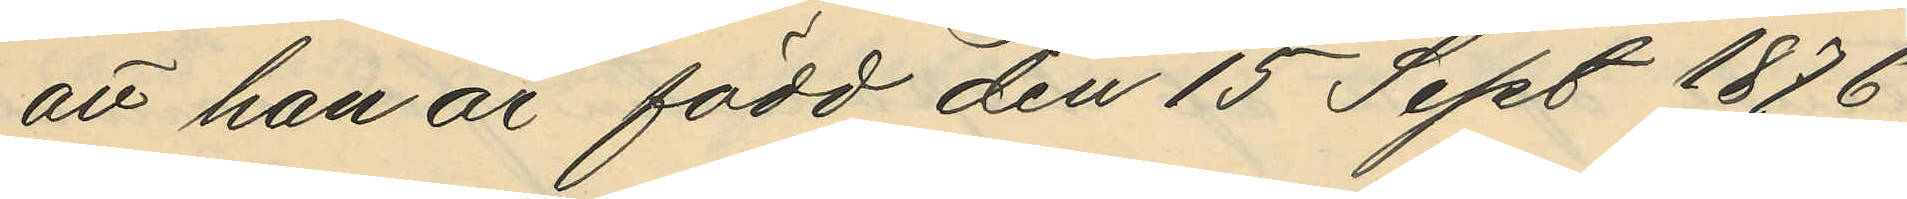att han är född den 15 Sept 1876
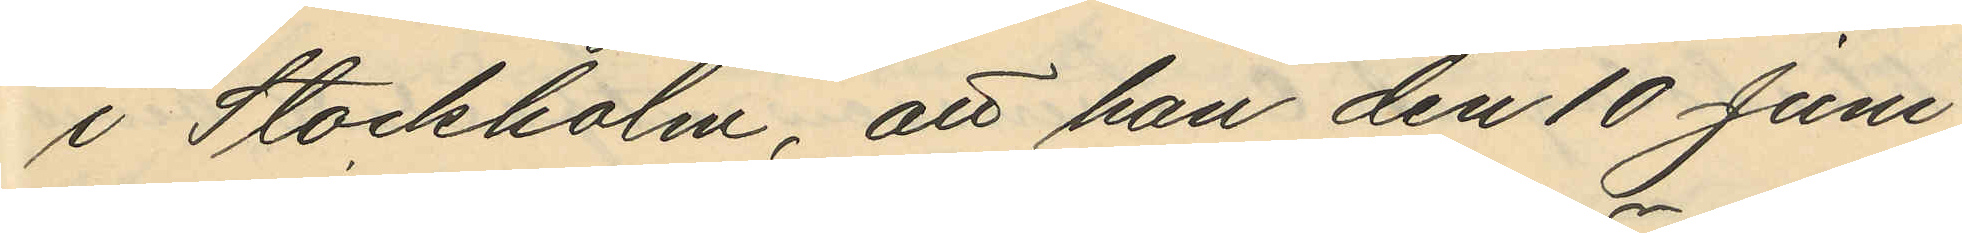i Stockholm, att han den 10 Juni
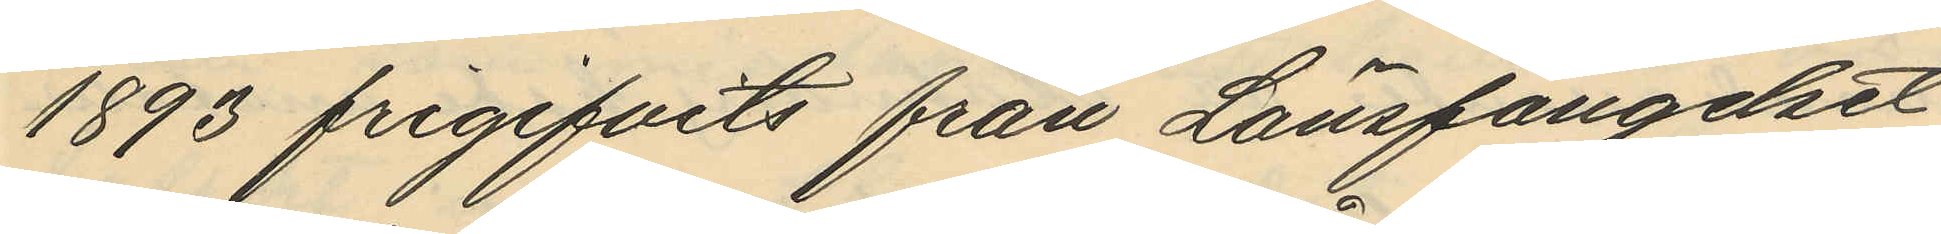1893 frigifvits från Länsfängelset
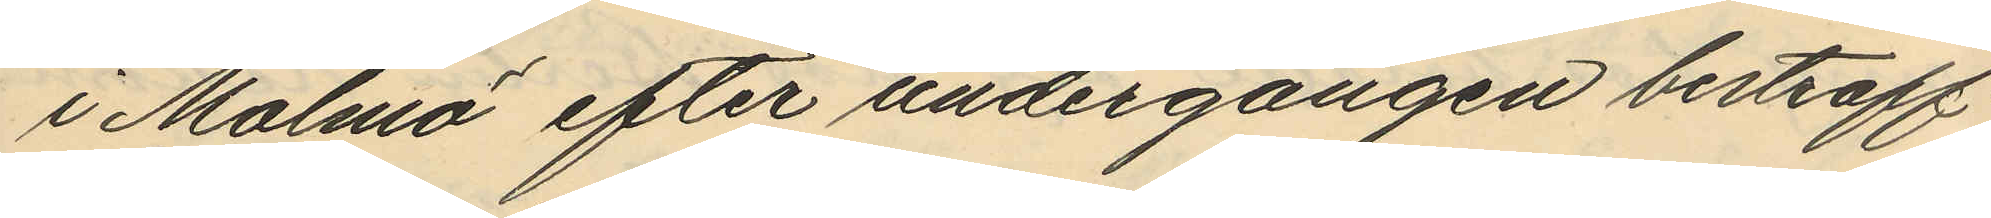i Malmö efter undergången bestraff¬
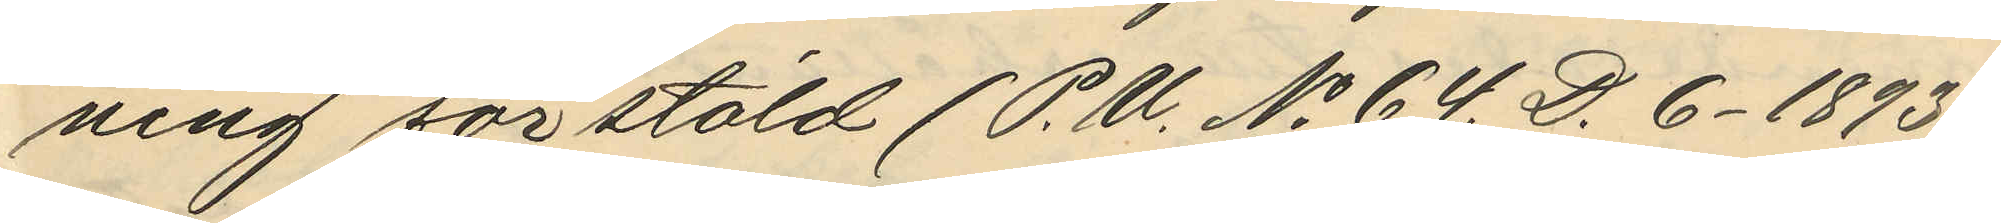ning för stöld (P. U. No 64. D. 6. 1893)
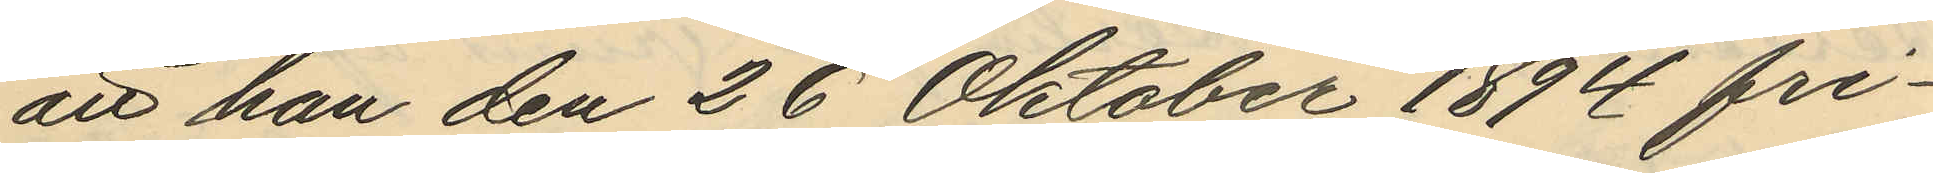att han den 26 Oktober 1894 fri¬
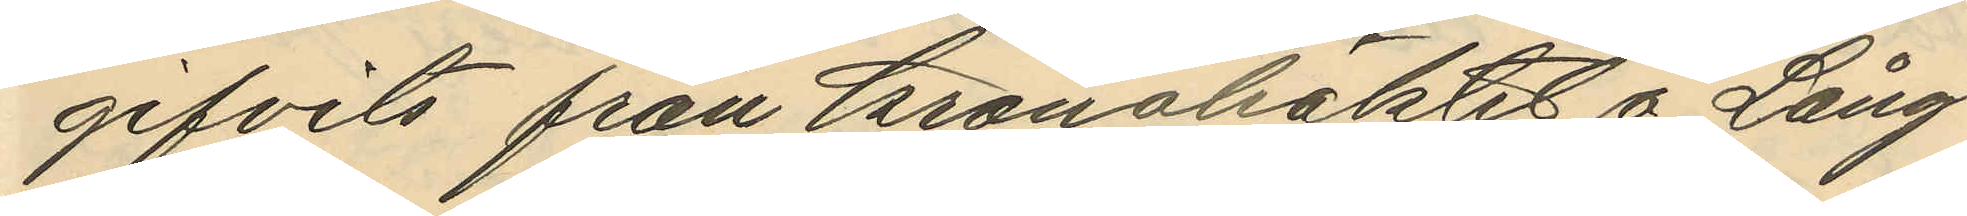gifvits från Kronohäktet å Lång¬
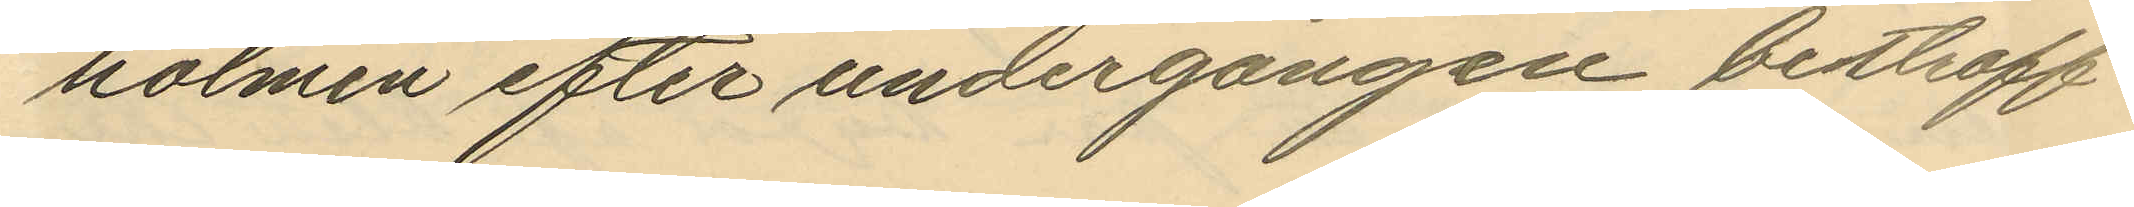holmen efter undergången bestraff¬
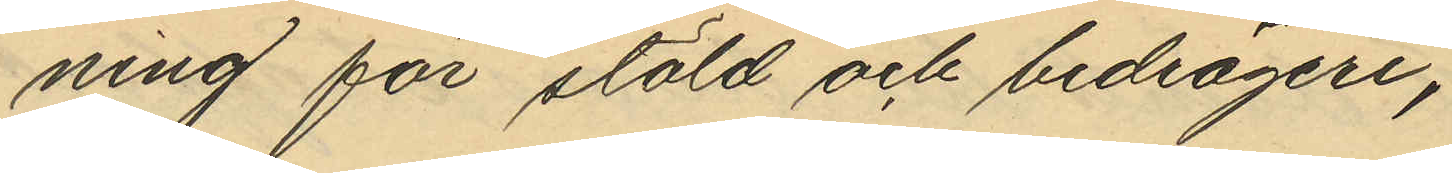ning för stöld och bedrägeri,
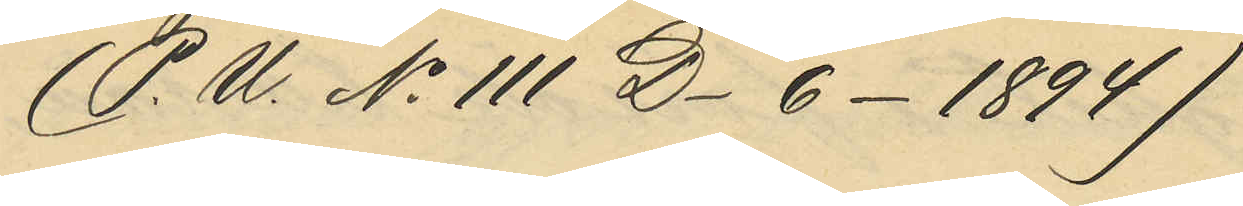(P. U. No 111 D. 6. 1894)
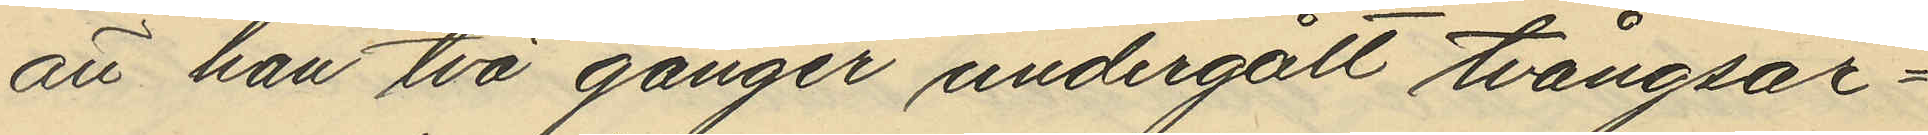att han två gånger undergått tvångsar¬
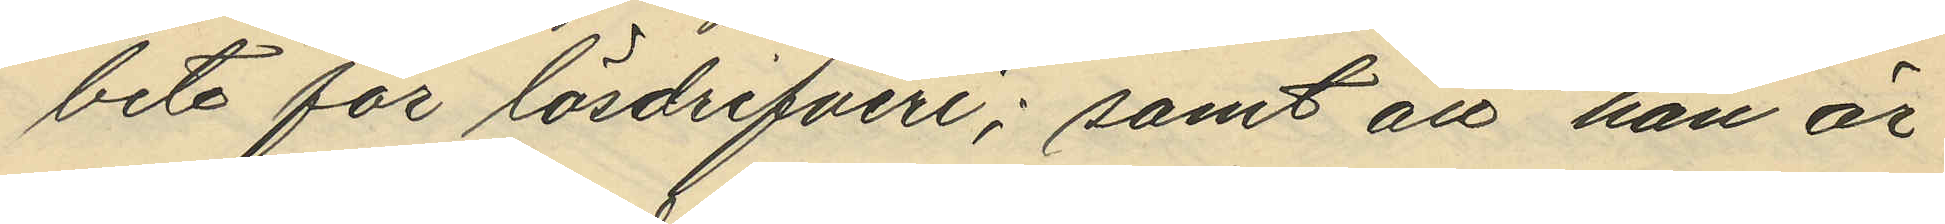bete för lösdrifveri; samt att han är
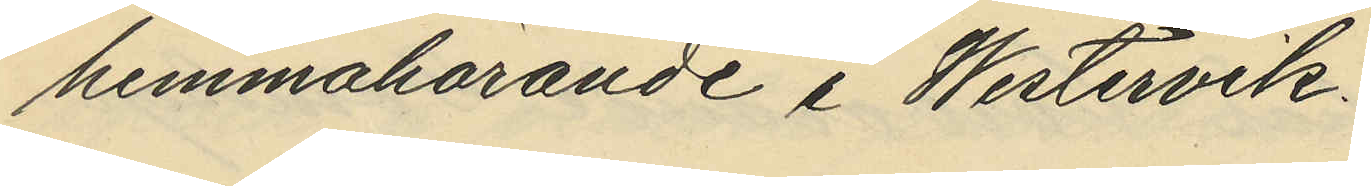hemmahörande i Westervik,
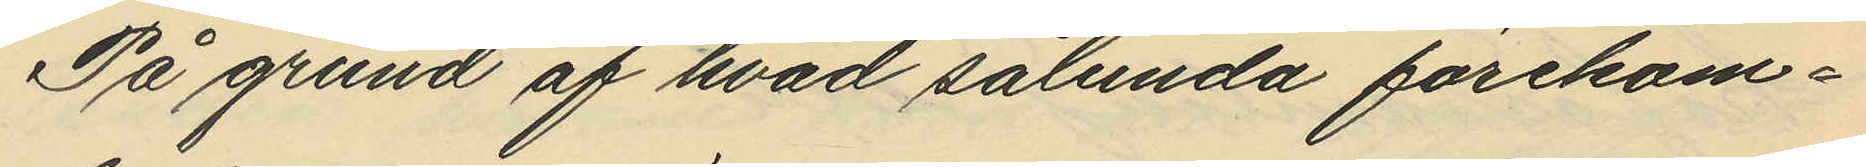På grund af hvad sålunda förekom¬
